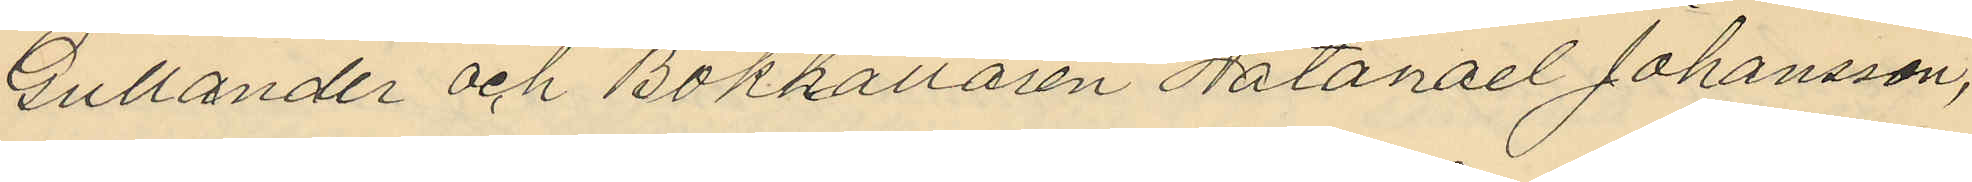Gullander och Bokhållaren Natanael Johansson,
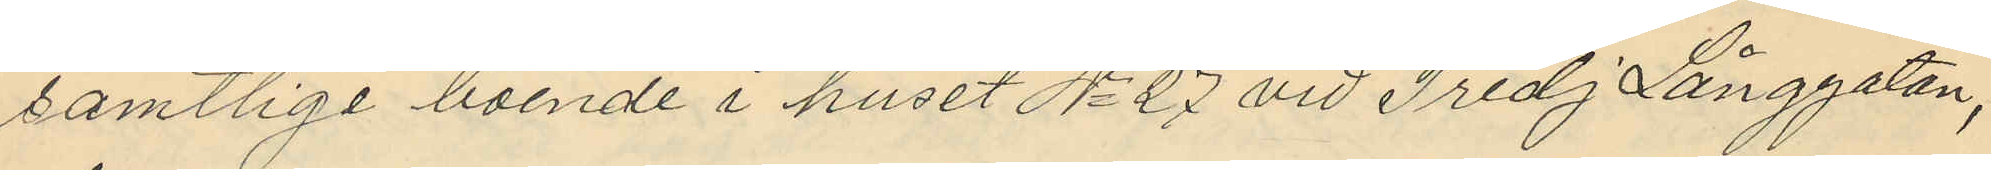samtlige boende i huset No 27 vid Tredj Långgatan,
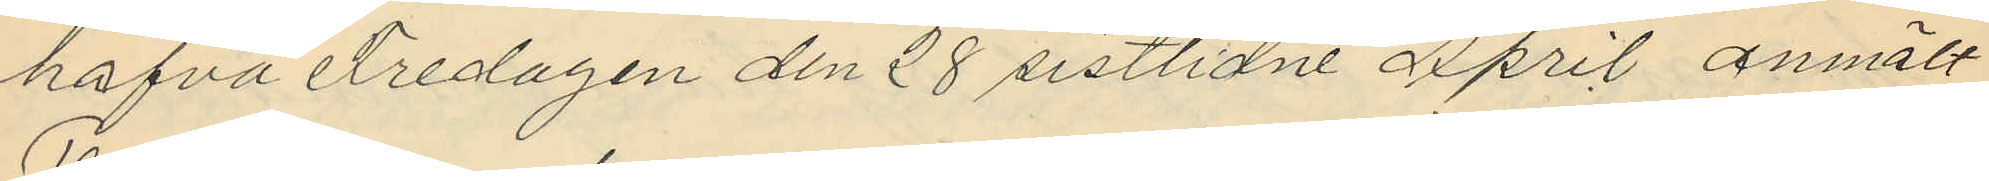hafva Fredagen den 28 sistlidne April anmält
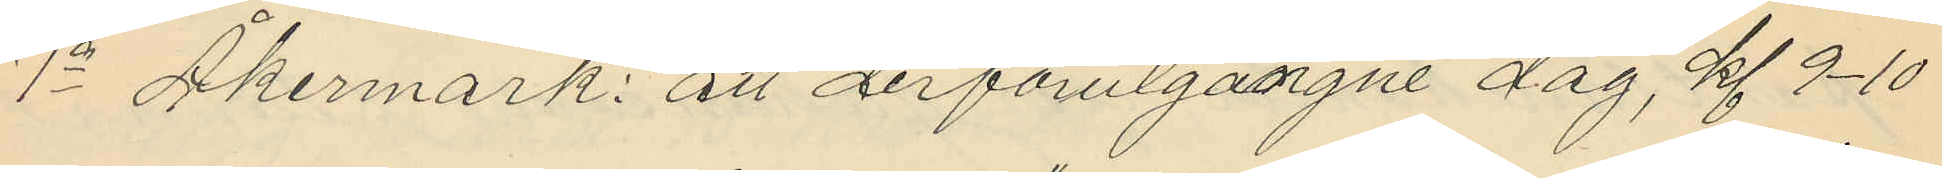1o Åkermark: att derförutgångne dag, Kl 9-10
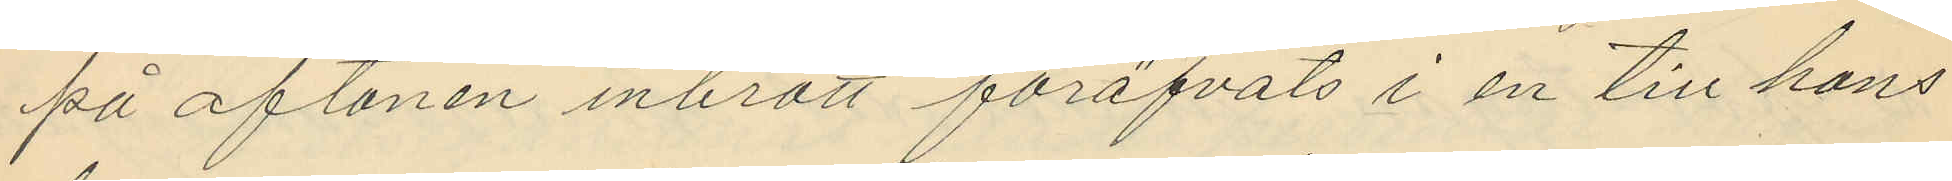på aftonen inbrott föröfvats i en till hans
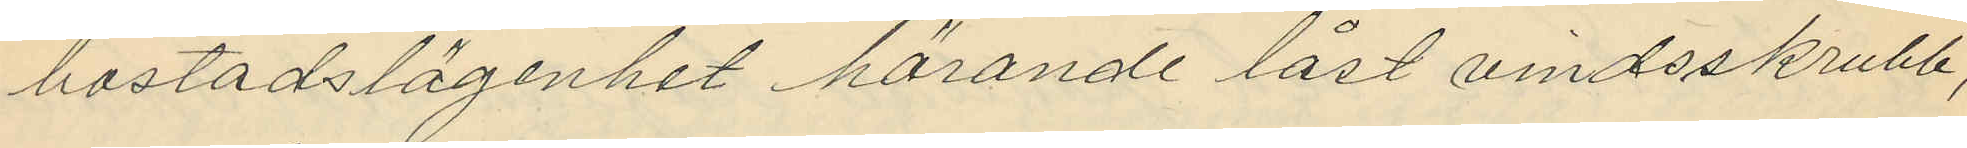bostadslägenhet hörande låst vindsskrubb,
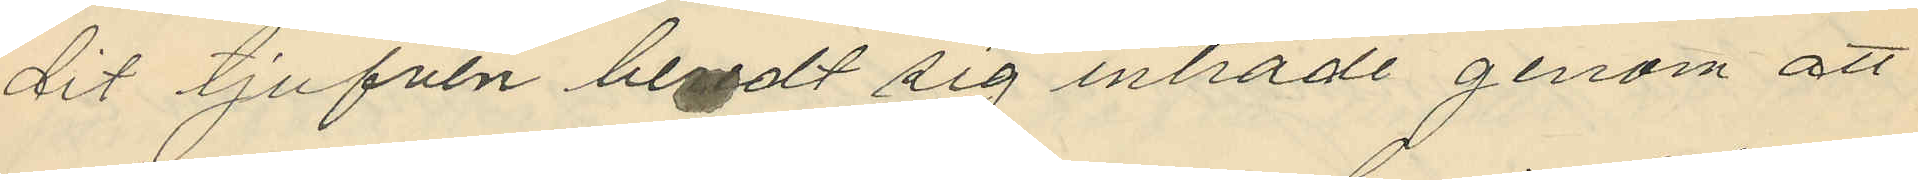dit tjufven beredt sig inträde genom att
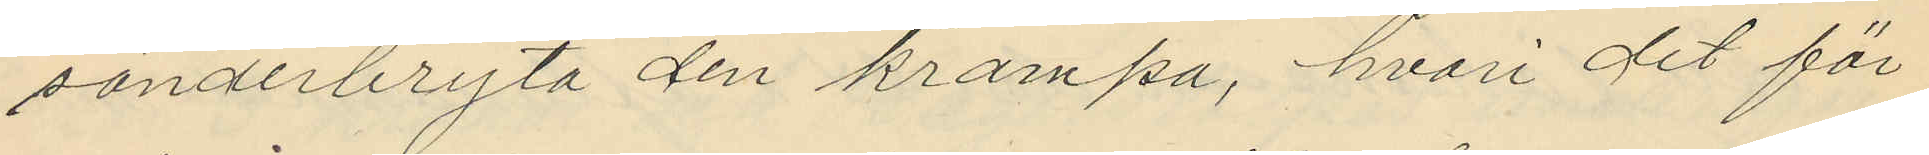sönderbryta den krampa, hvari det för
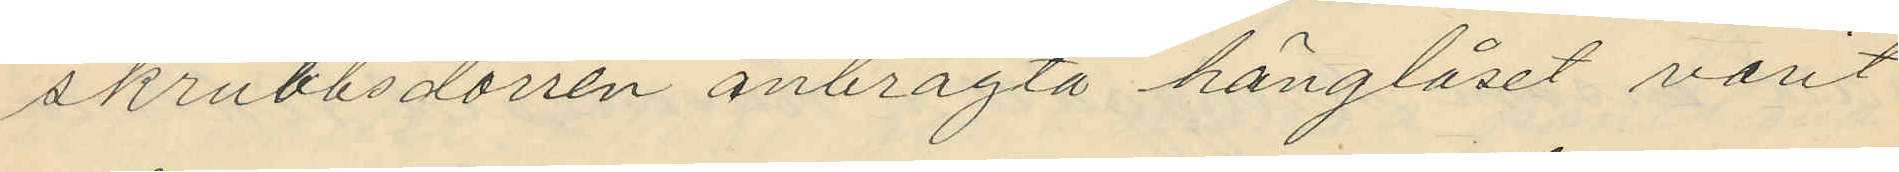skrubbsdörren anbragta hänglåset varit
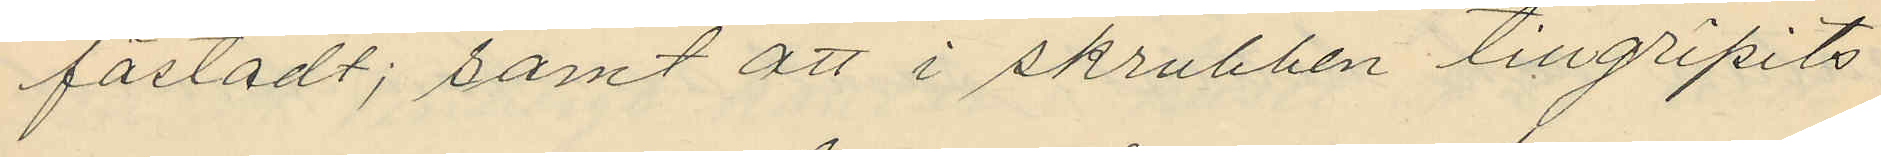fästadt; samt att i skrubben tillgripits
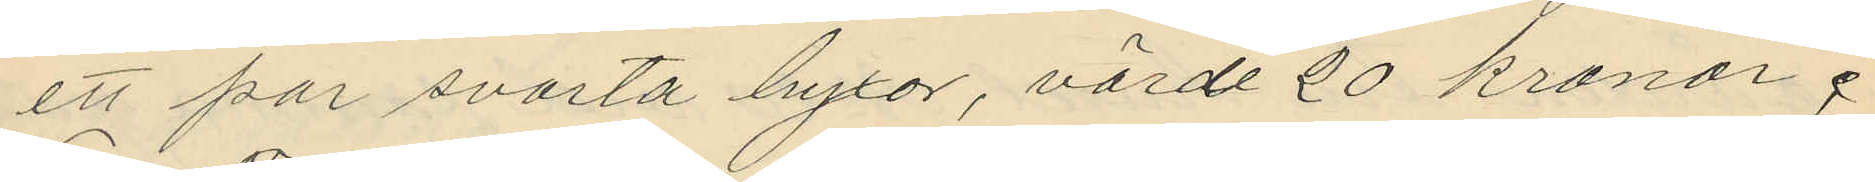ett par svarta byxor, värde 20 kronor;
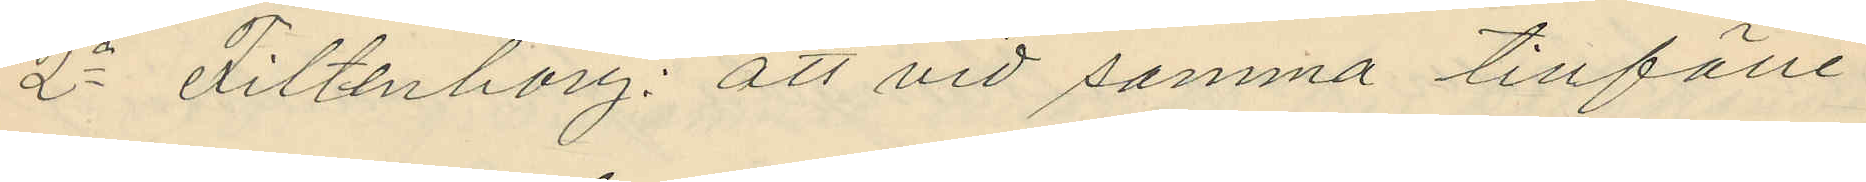2o Filtenborg: att vid samma tillfälle
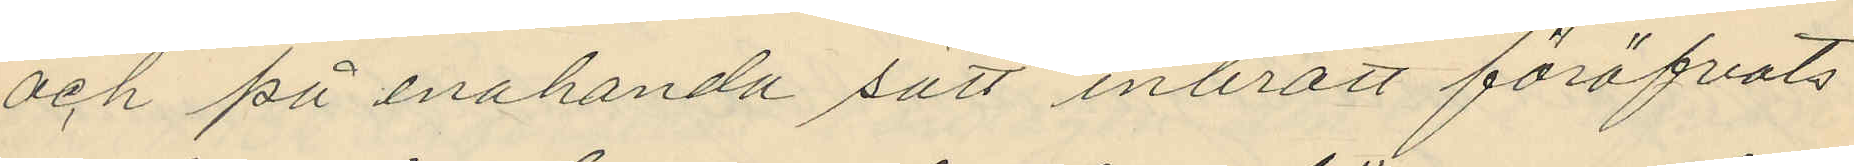och på enahanda sätt inbrott föröfvats
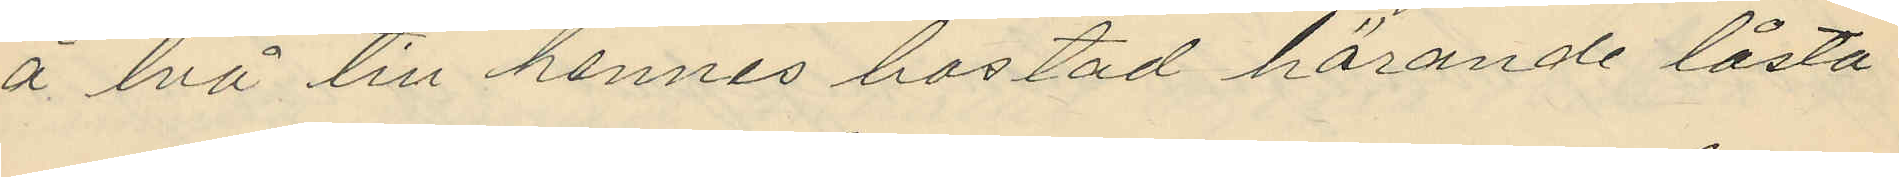å två till hennes bostad hörande låsta
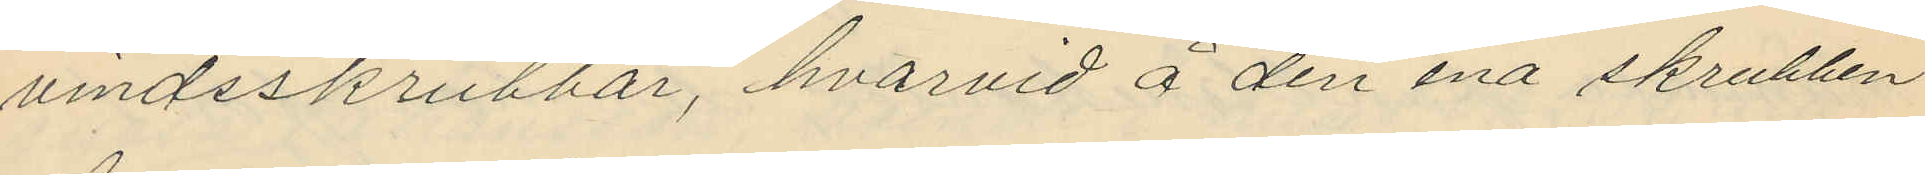vindsskrubbar, hvarvid å den ena skrubben
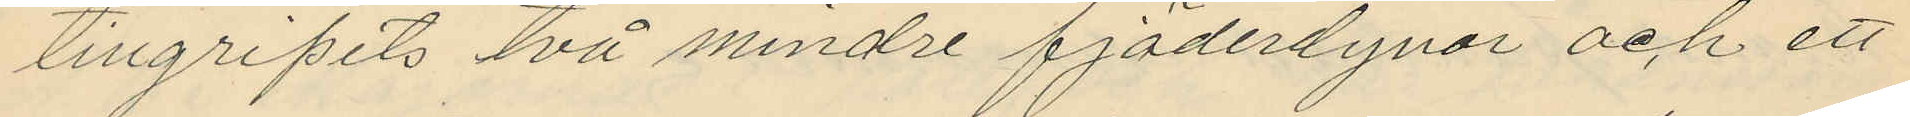tillgripits två mindre fjäderdynor och ett
